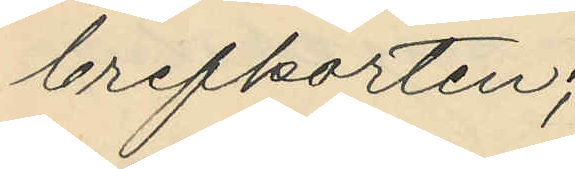brefkorten;
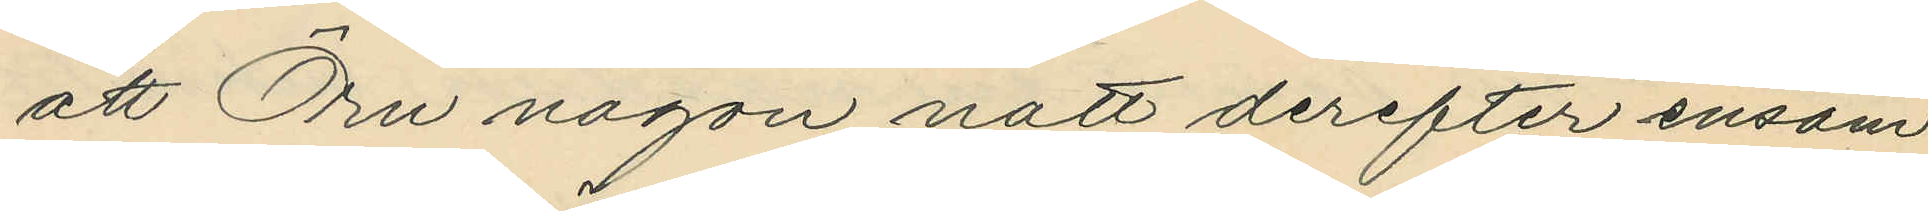att Örn någon natt derefter ensam
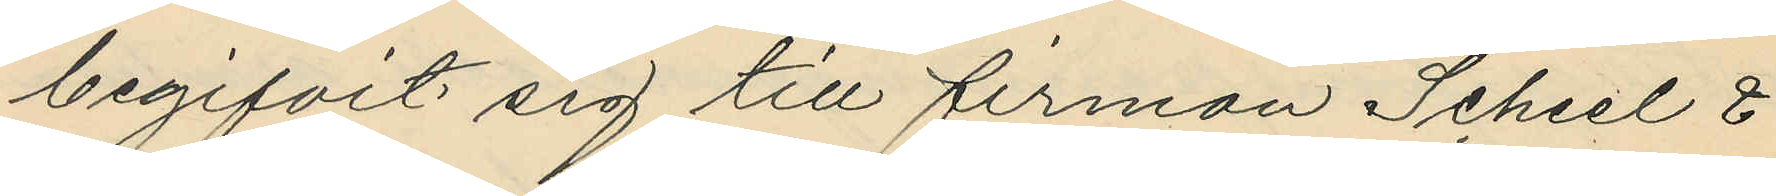begifvit sig till firman Scheel &
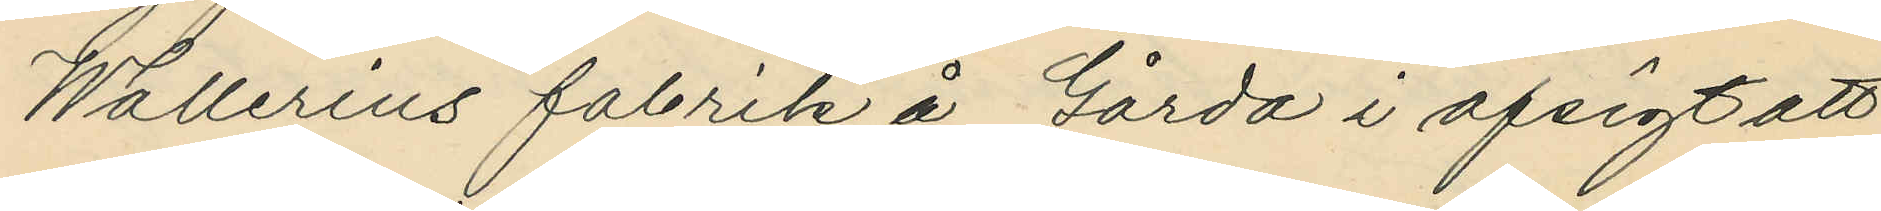Wallerius fabrik å Gårda i afsigt att
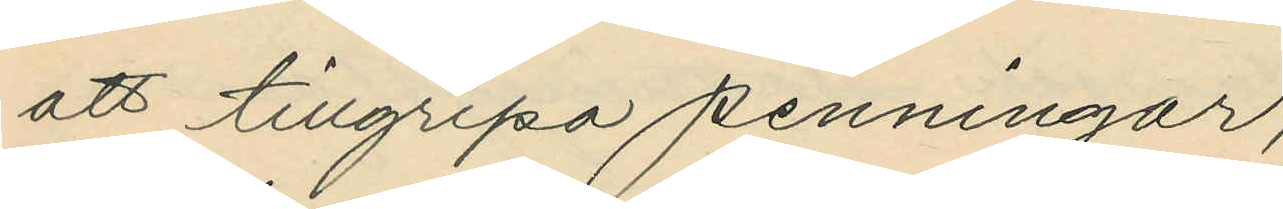att tillgripa penningar;
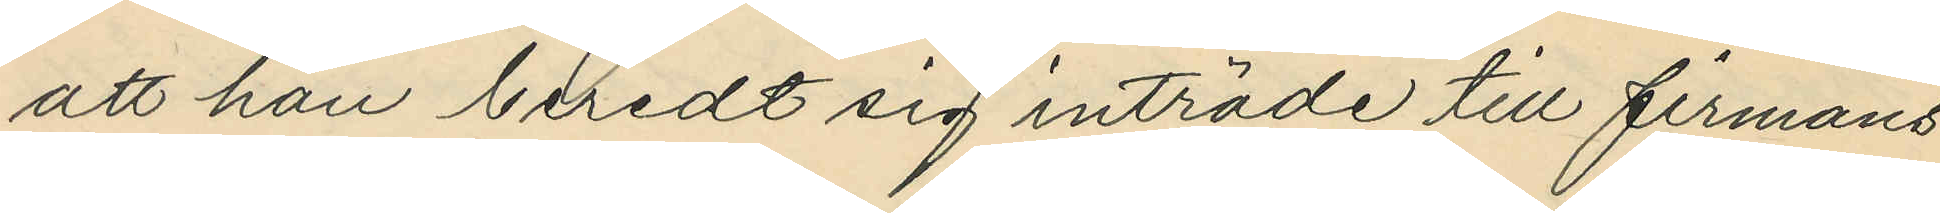att han beredt sig inträde till firmans
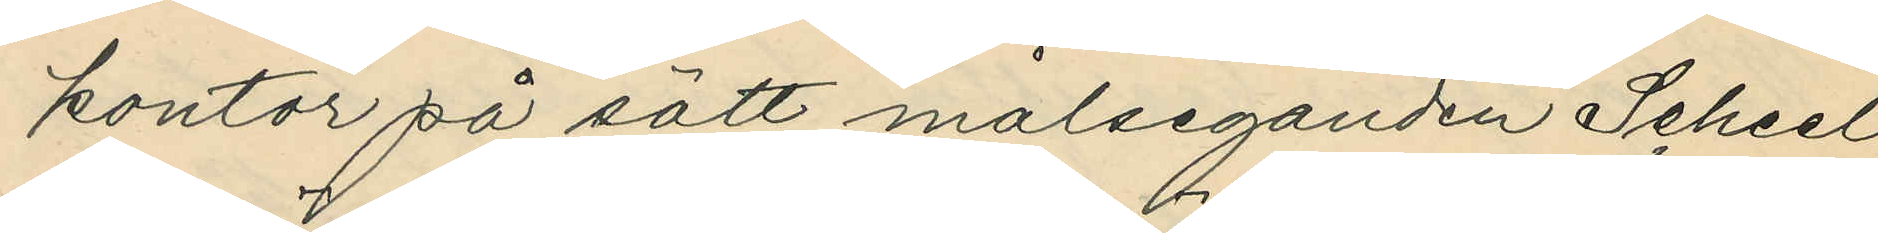kontor på sätt målseganden Scheel
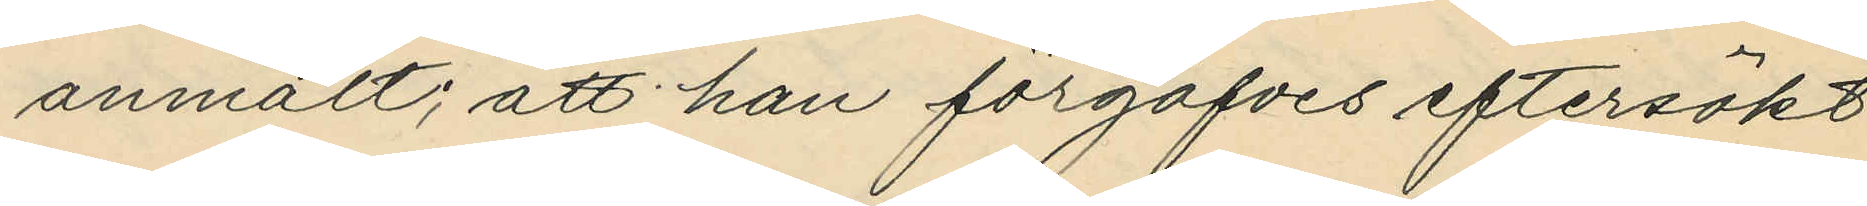anmält; att han förgäfves eftersökt
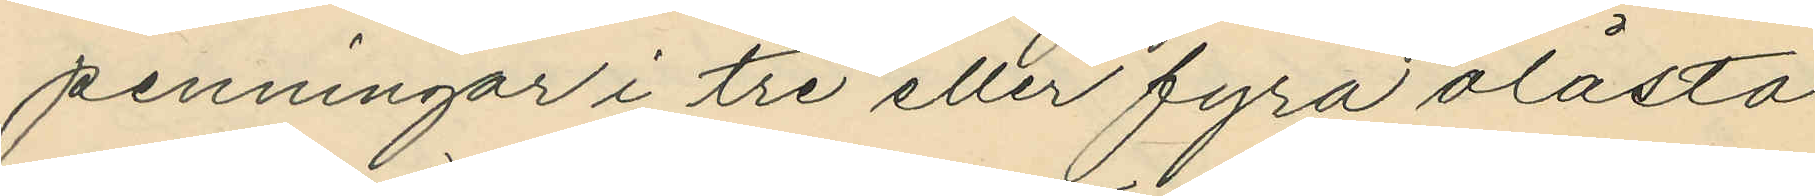penningar i tre eller fyra olåsta
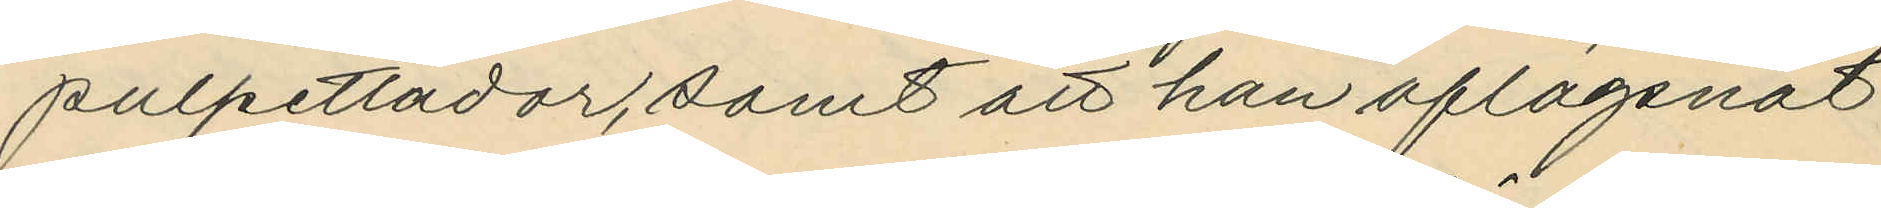pulpetlådor, samt att han aflägsnat
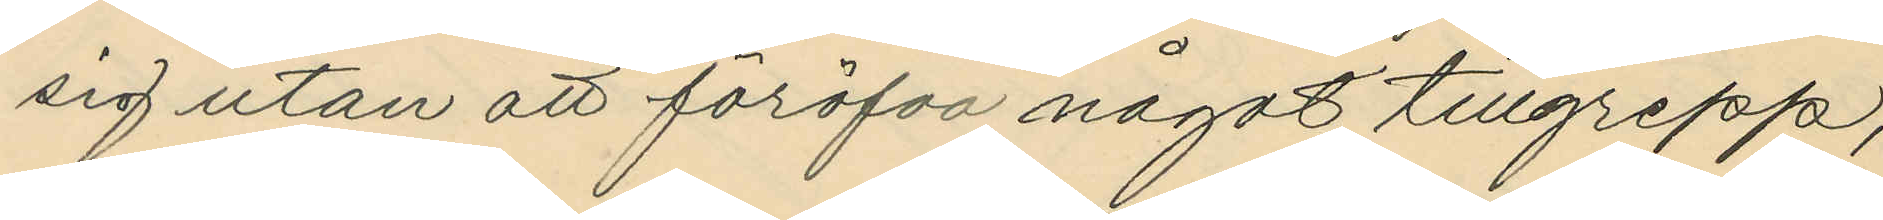sig utan att föröfva något tillgrepp;
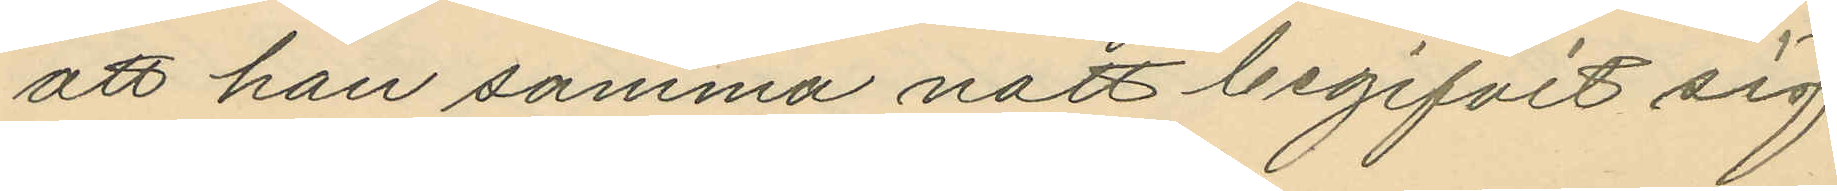att han samma natt begifvit sig
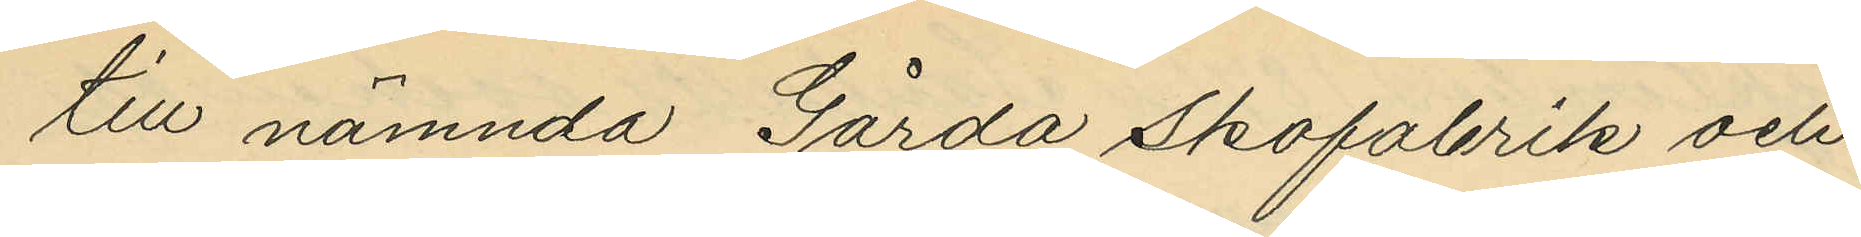till nämnda Gårda Skofabrik och
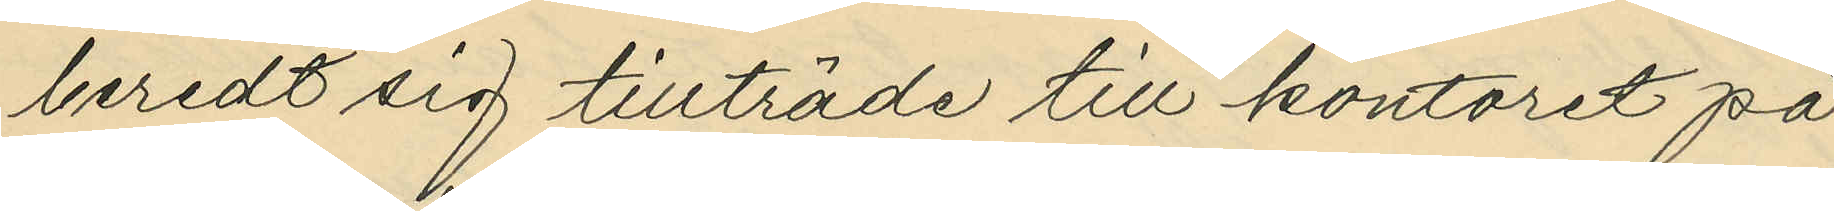beredt sig tillträde till kontoret på
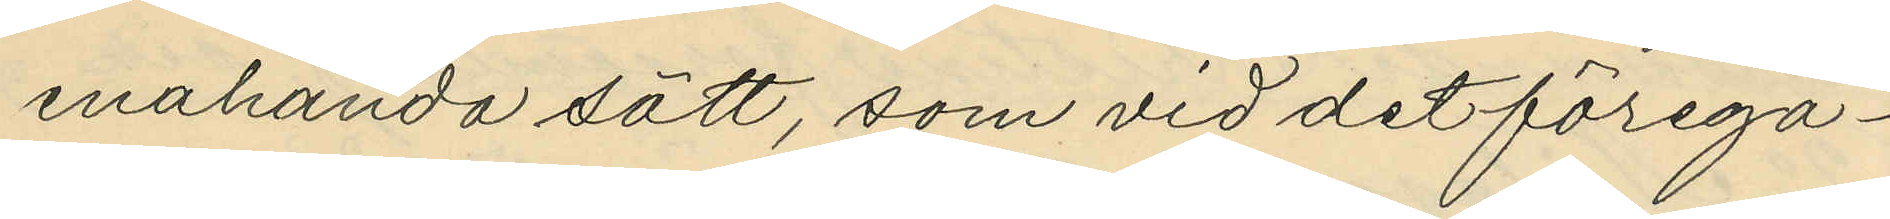enahanda sätt, som vid det föregå¬
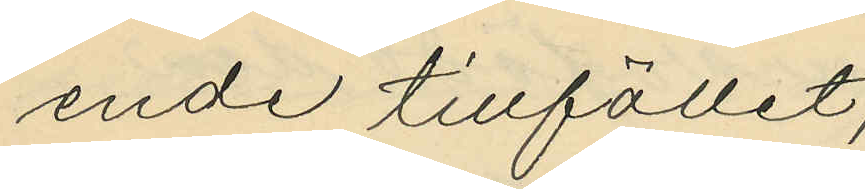ende tillfället;
